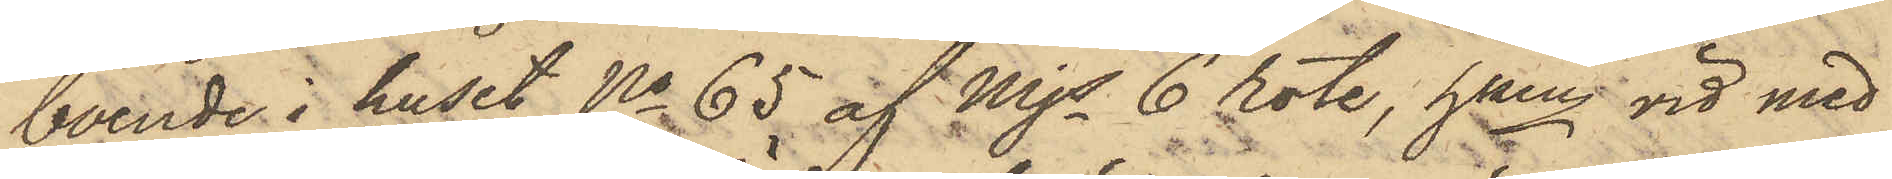boende i huset No 65 af Mjs 6 rote, hken vid med
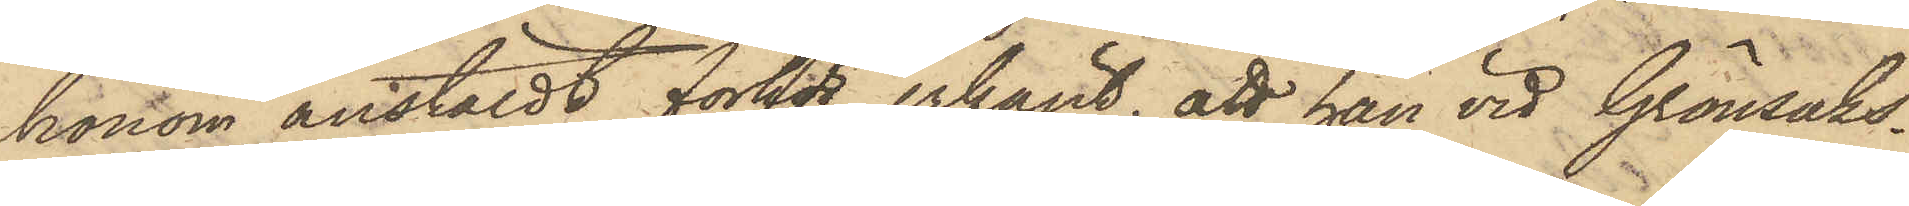honom anstäldt förhör erkänt, att han vid Grönsaks¬
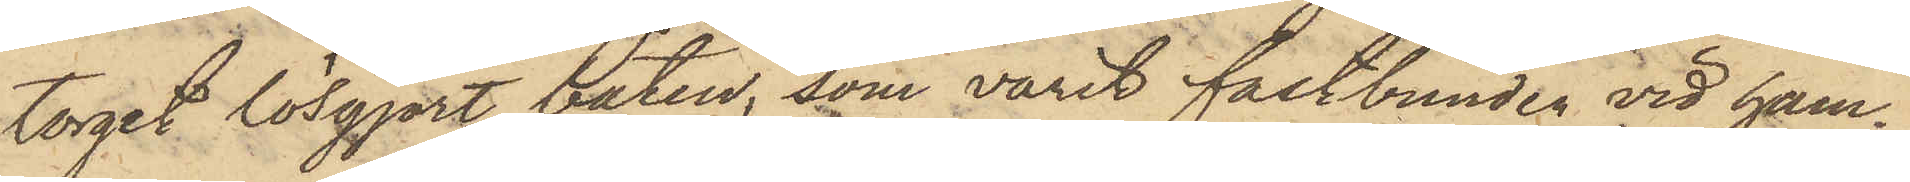torget lösgjort båten, som varit fastbunden vid ham¬
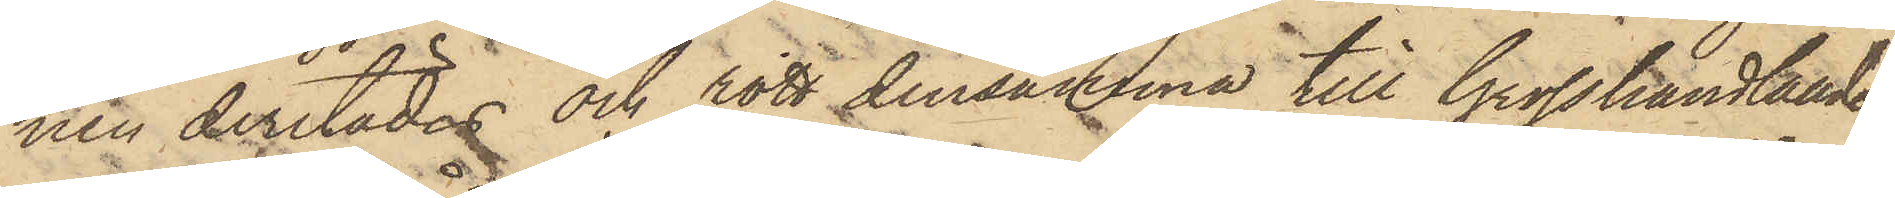nen derstädes och rott densamma till Grosshandlanden
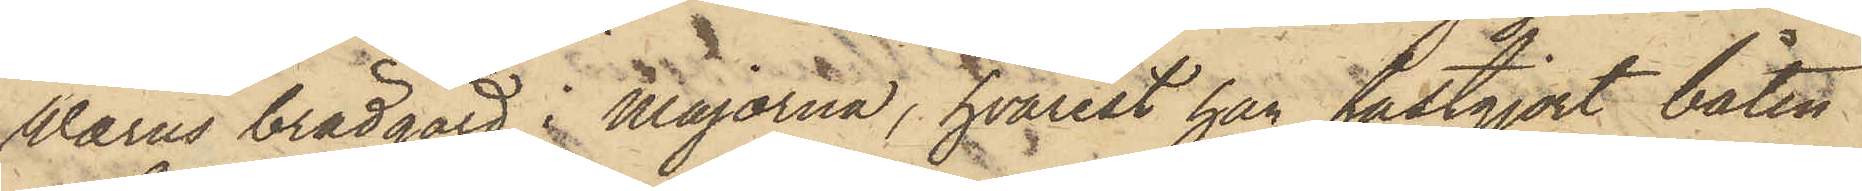Wærns brädgård i Majorna, hvarest han fastgjort båten
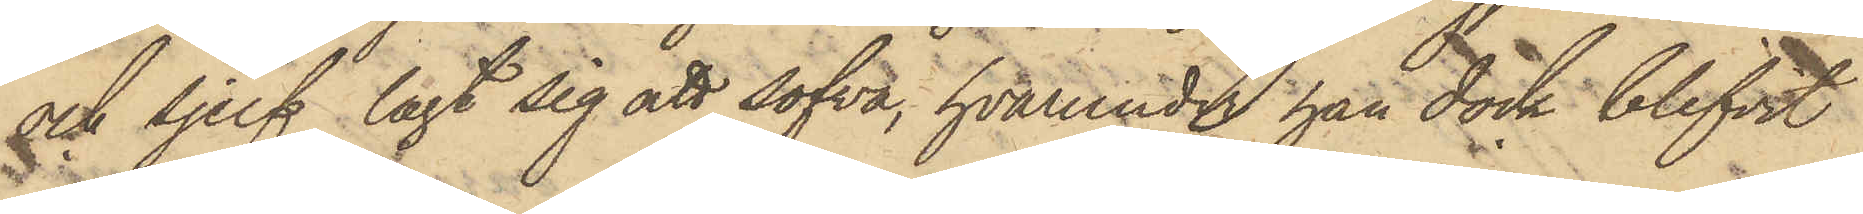och sjelf lagt sig att sofva, hvarunder han dock blifvit
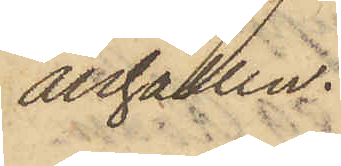anhållen.
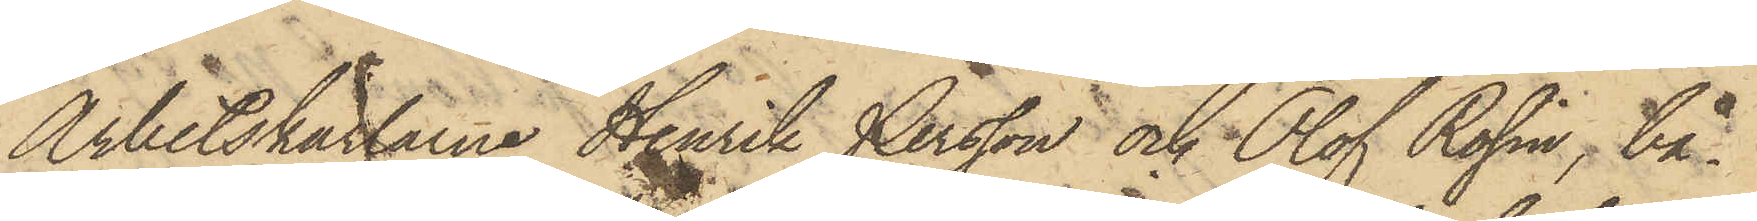Arbetskarlarna Henrik Persson och Olof Rosin, bå¬
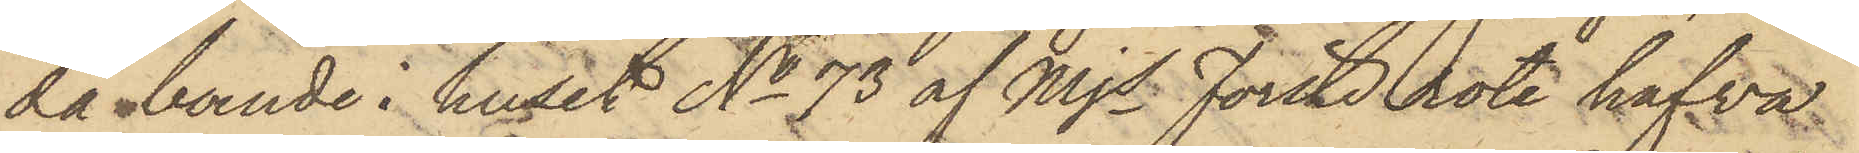da boende i huset No 73 af Mjs Förste rote hafva
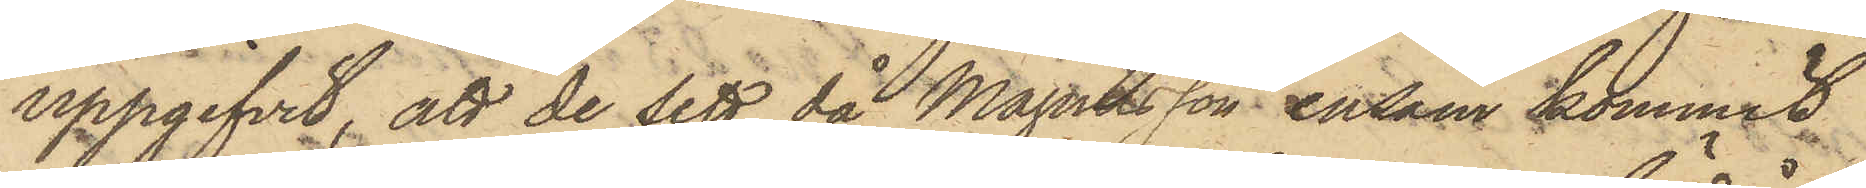uppgifvit, att de sett då Magnusson ensam kommit
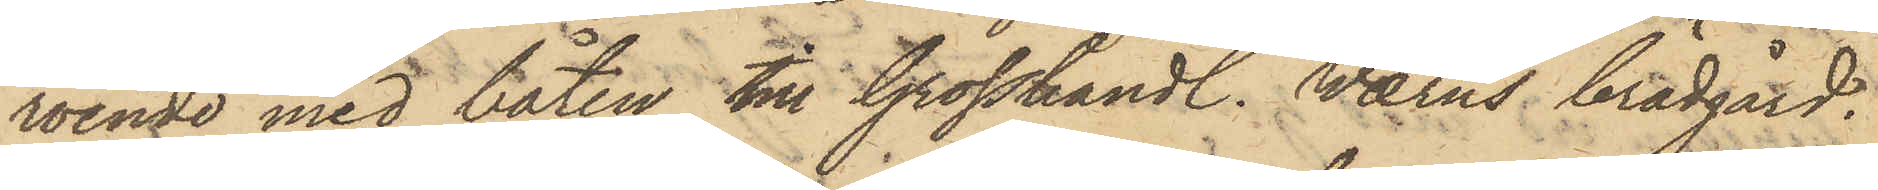roende med båten till Grosshandl. Wærns brädgård.
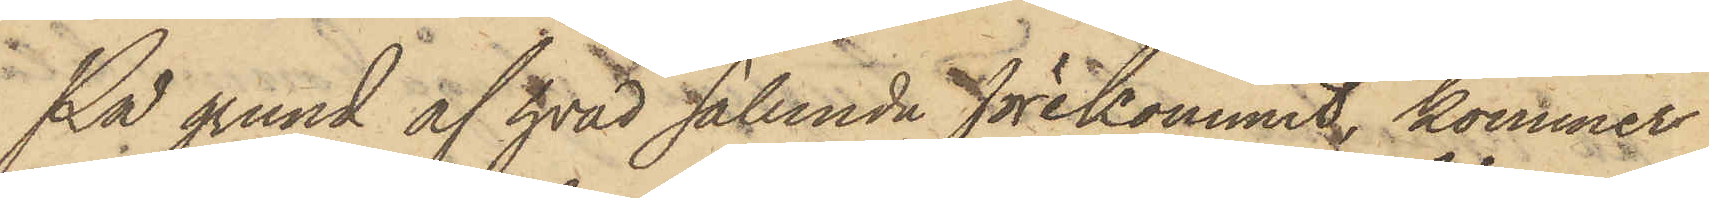På grund af hvad sålunda förekommit, kommer
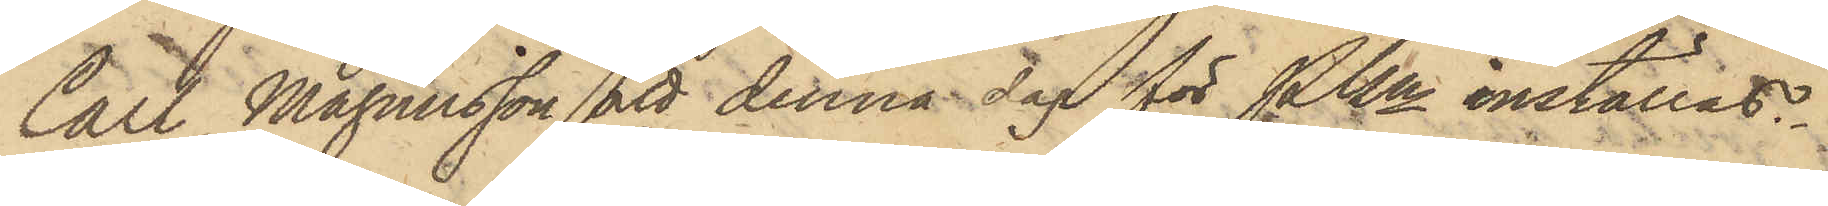Carl Magnusson att denna dag för Pkn inställas.
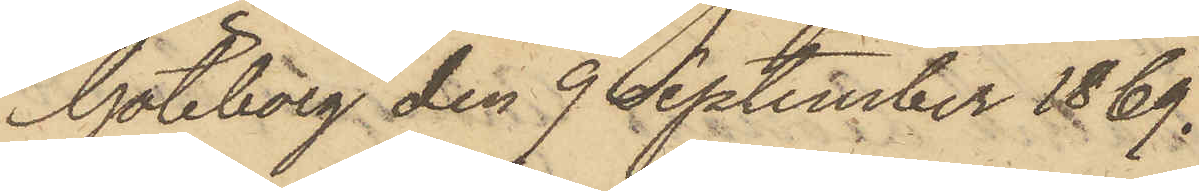Göteborg den 9 September 1869.
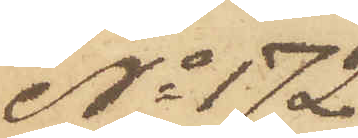No 172
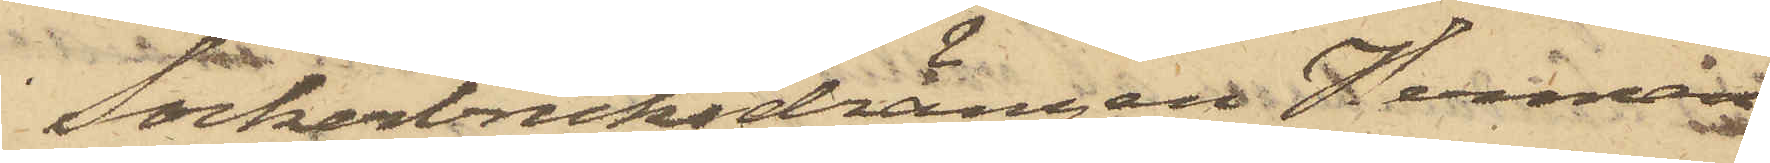Sockerbruksdrängen Herman
